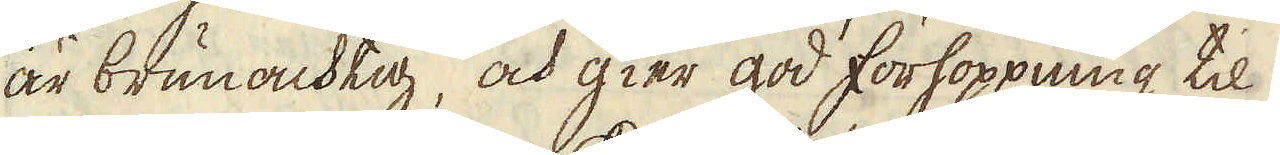är brunachtig, och gier god förhoppning til
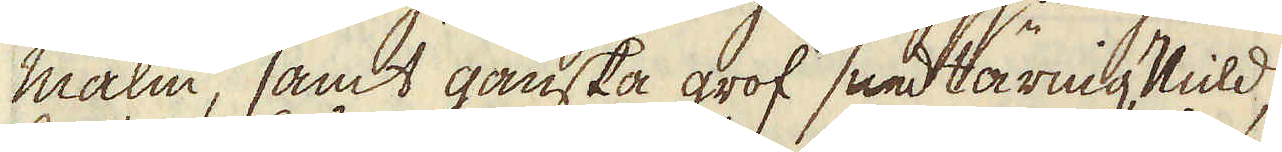malm, samt ganska grof sandtärnig,Vild,
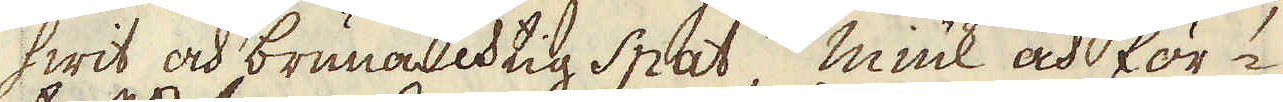hwit och brunachtig spat, miuk och för-
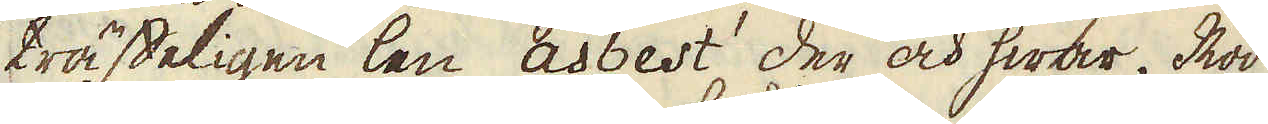träffeligen len asbest der och hwar, Röd
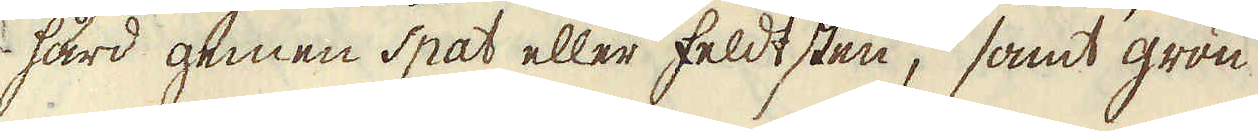hård gemen spat eller feldtsten, samt grön
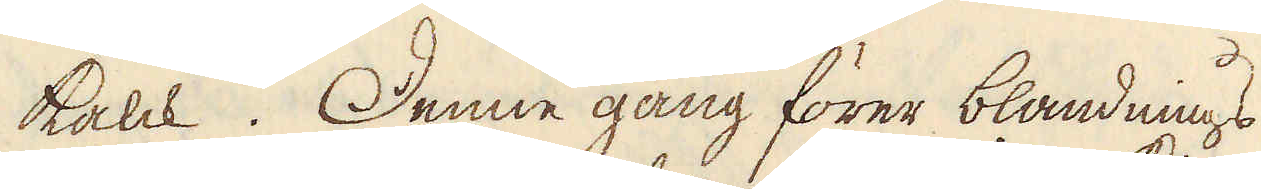kalck. Dene gång förer blandnings
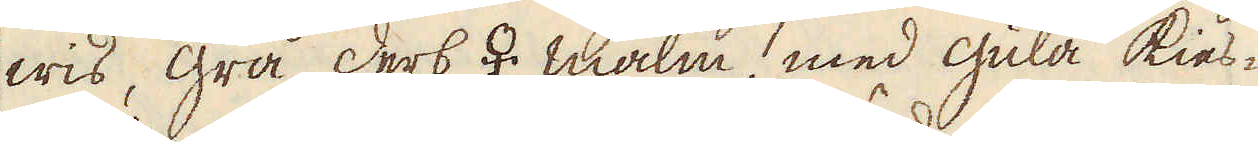wis, grå derb ♀ malm, med gula kies-
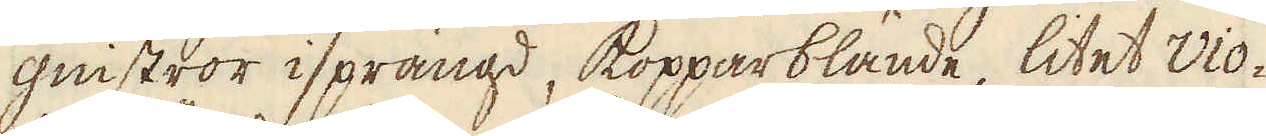gnistror isprängd, kopparblände, litet vio-
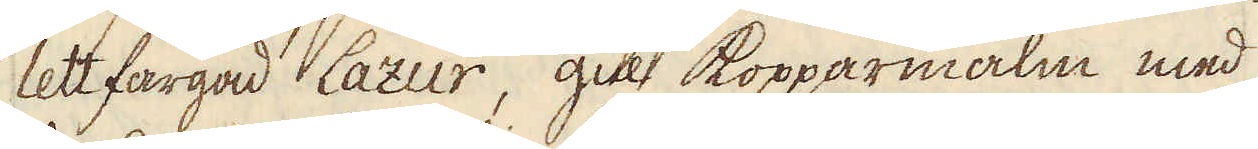lettfärgad lazur, gul kopparmalm med
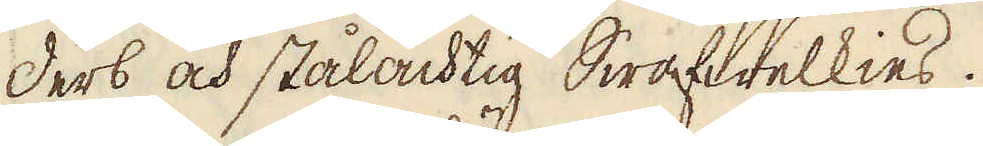derb och stålachtig Swafwelkies.
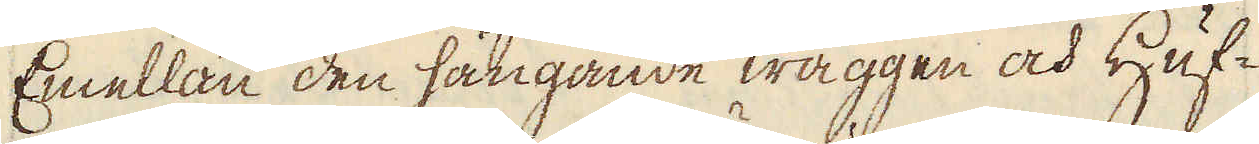Emellan den hångande wäggen och Huf-
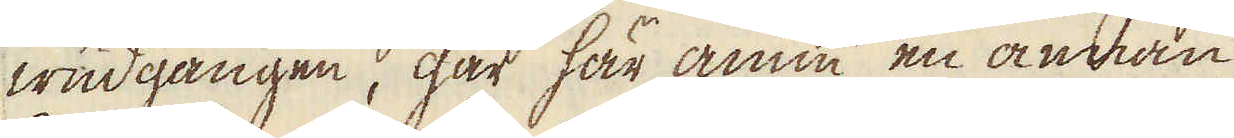wudgången, går här ännu en annan
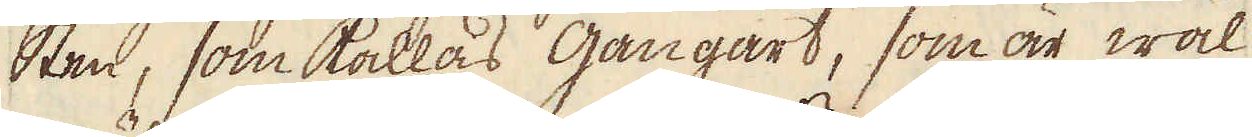Sten, som kallas gångart, som är wäl
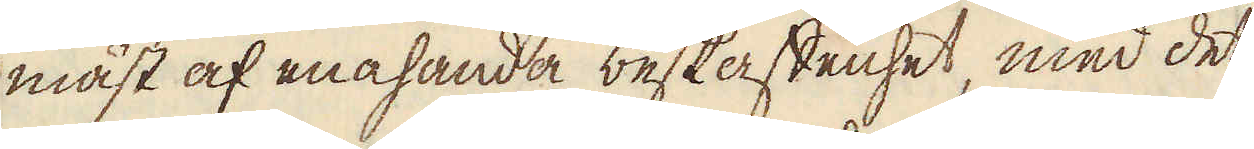mäst af enahanda beskaffenhet, med det
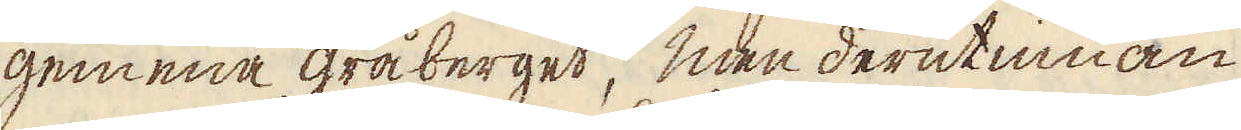gemena gråberget, men derutinnan
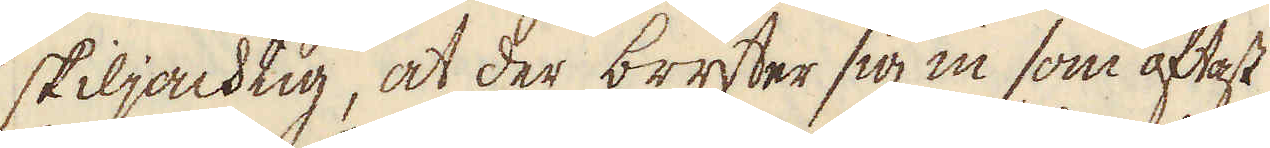skiljachtig, at der bryter sig in som oftast
